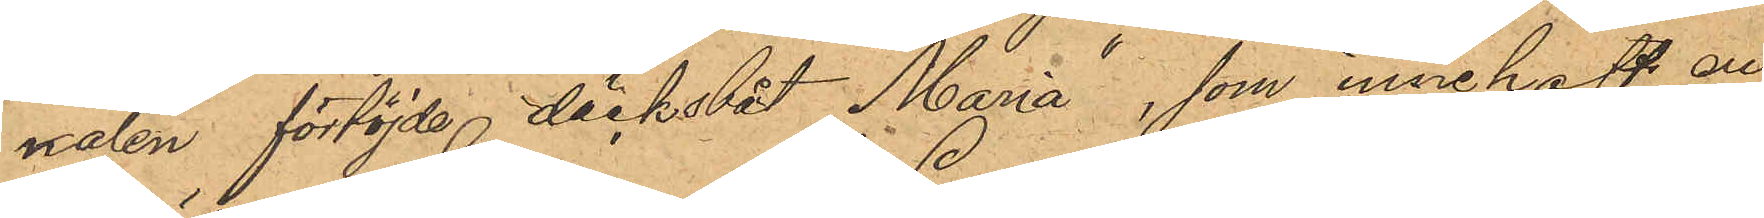nalen förtöjde däcksbåt "Maria", som innehaft en
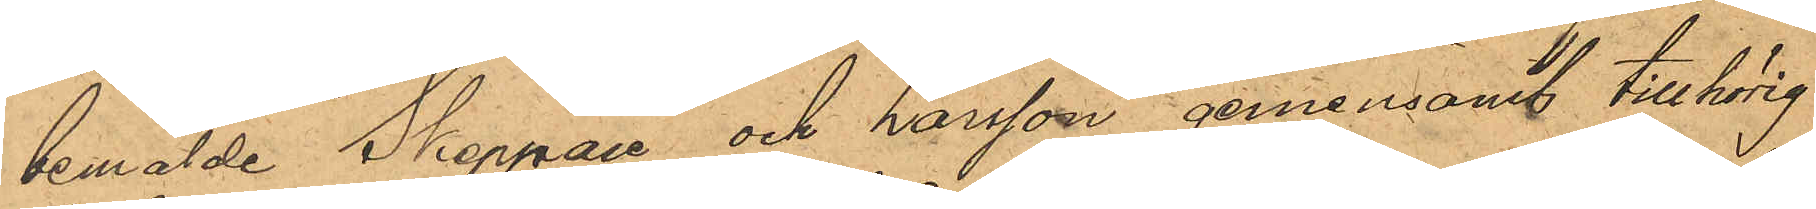bemälde Skeppare och Larsson gemensamt tillhörig
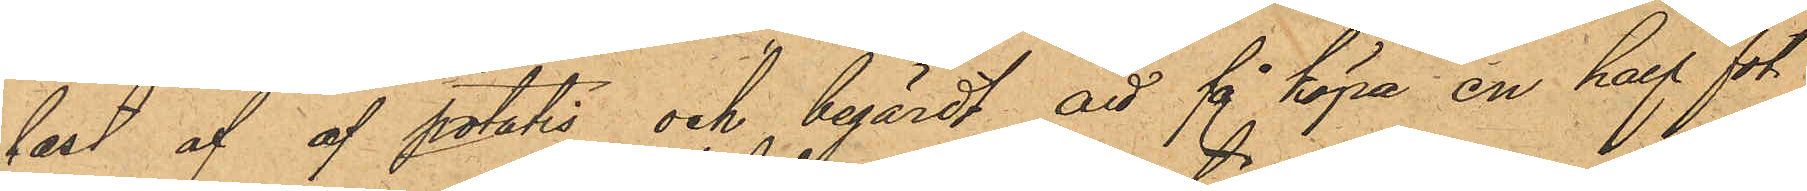last af af potatis och begärdt att få köpa en half fot
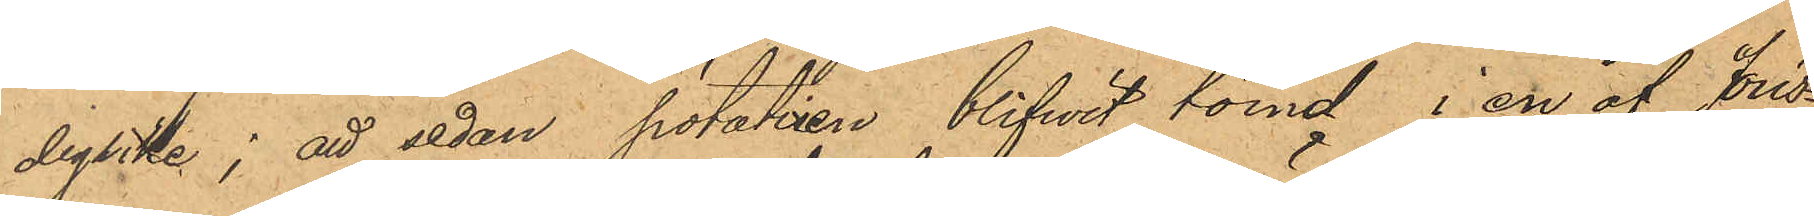dylike; att sedan potatisen blifvit tömd i en af Jöns¬
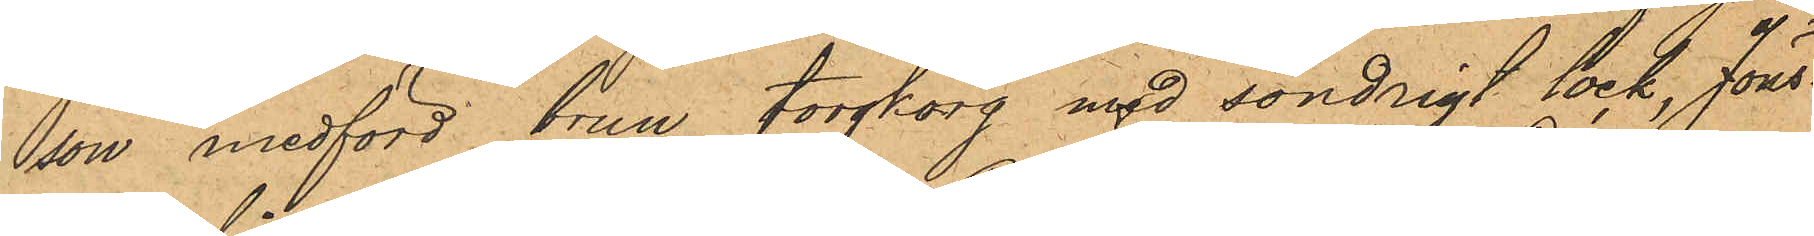son medförd brun torgkorg med söndrigt lock, Jöns¬
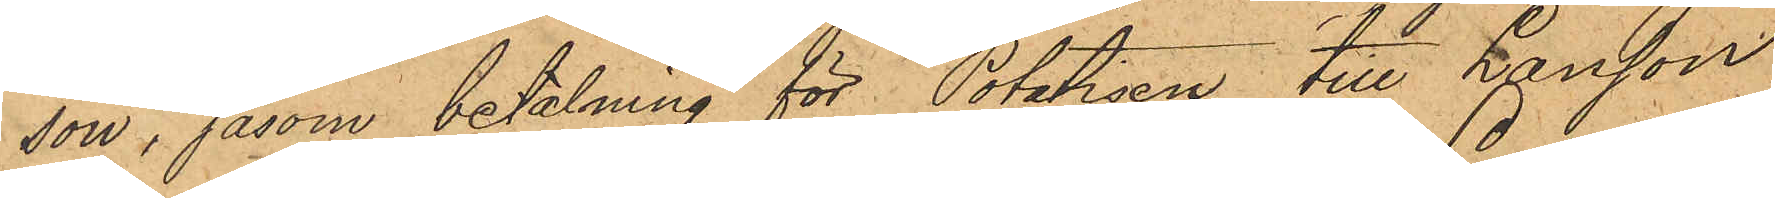son, såsom betalning för Potatisen till Larsson
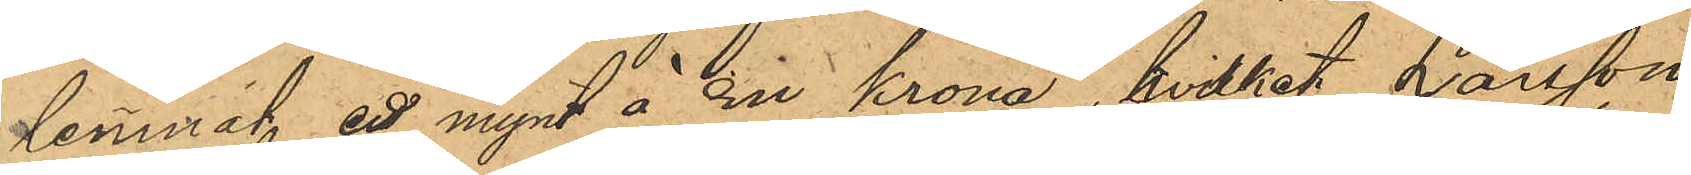lemnat ett mynt à En krona, hvilket Larsson
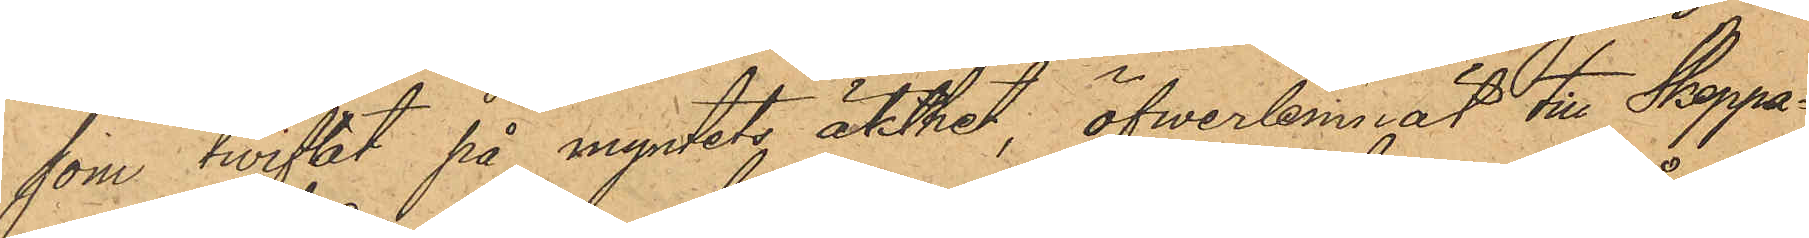som twiflat på myntets äkthet, öfverlemnat till Skeppa¬
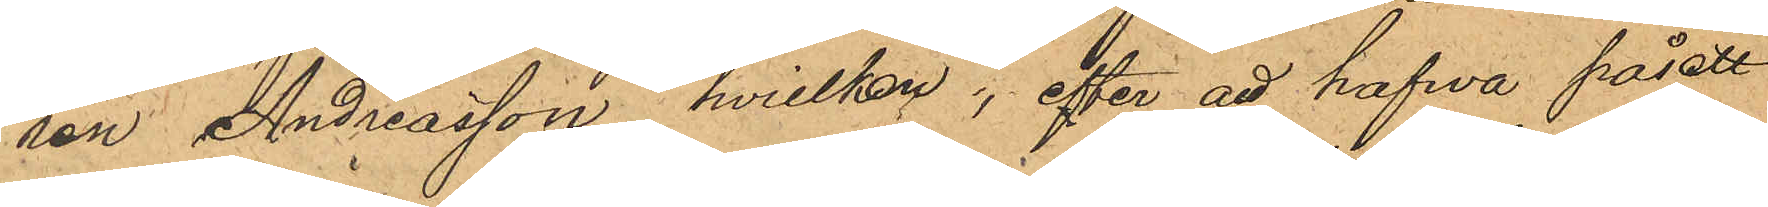ren Andreasson, hvilken, efter att hafva påsett
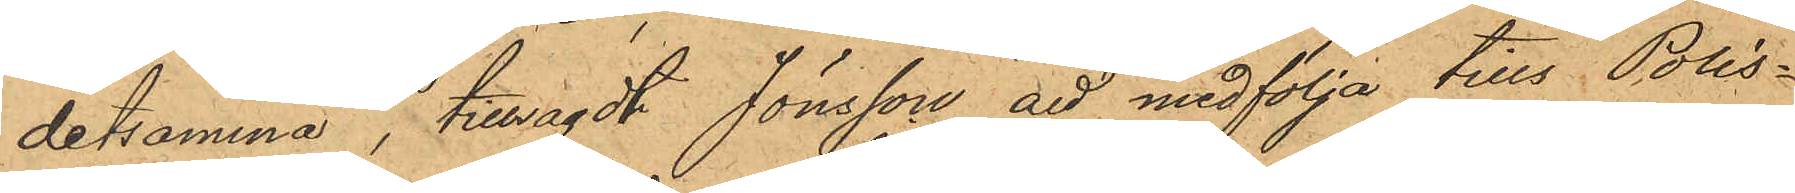detsamma, tillsagdt Jönsson att medfölja tills Polis¬
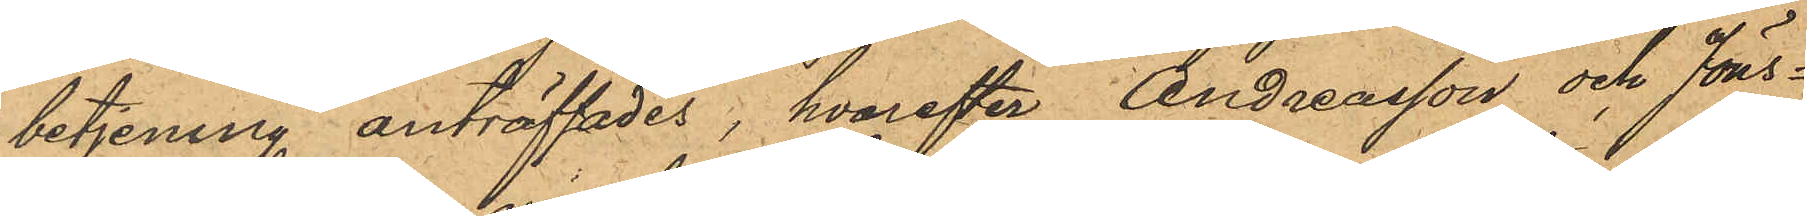betjening anträffades, hvarefter Andreasson och Jöns¬
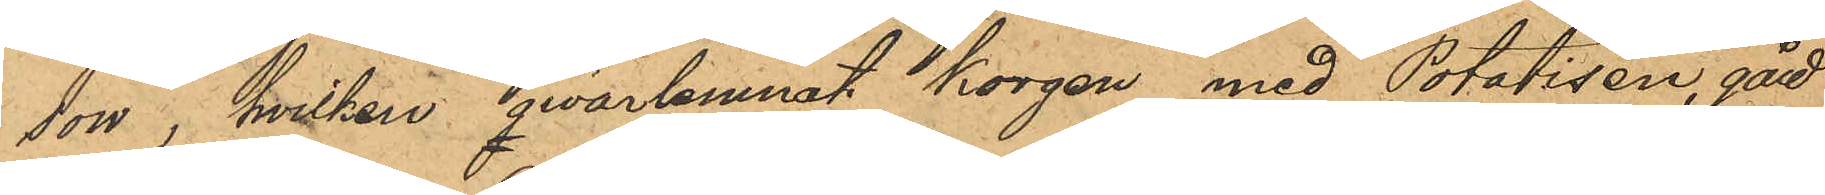son, hvilken qwarlemnat korgen, med Potatisen, "gått
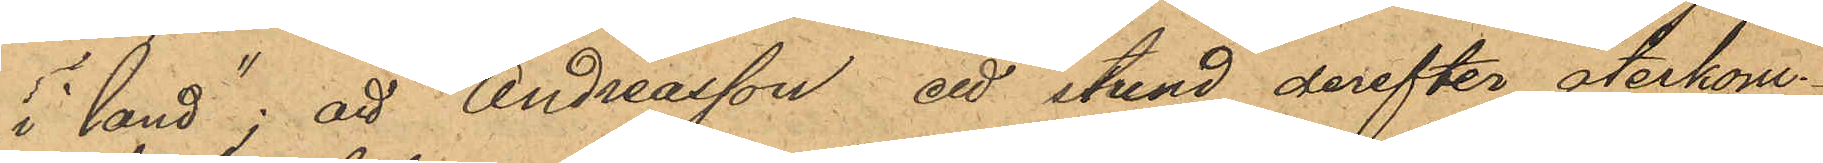i land"; att Andreasson ett stund derefter återkom¬
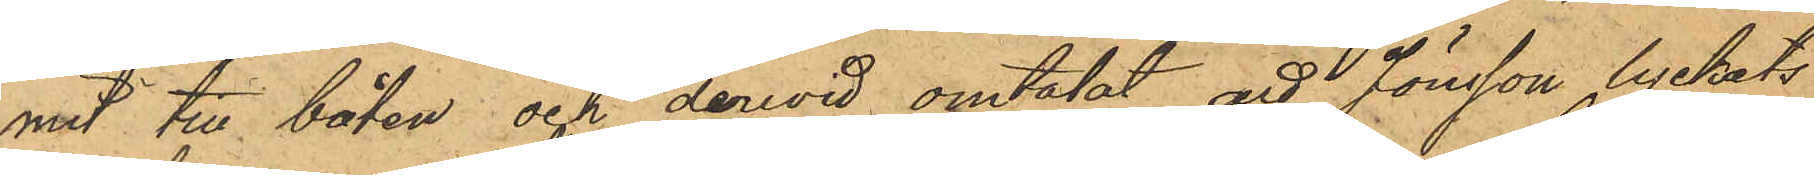mit till båten och derwid omtalat att Jönsson lyckats
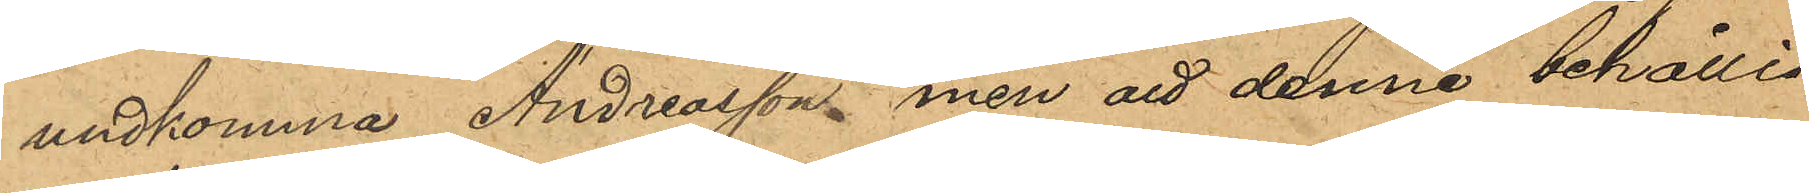undkomma Andreasson men att denne behållit
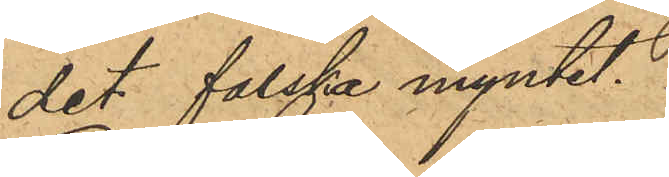det falska myntet.
